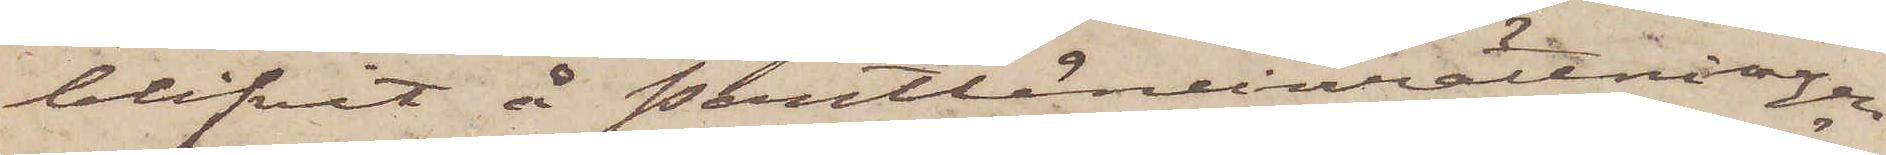blifvit å Pantlåneinrättningen
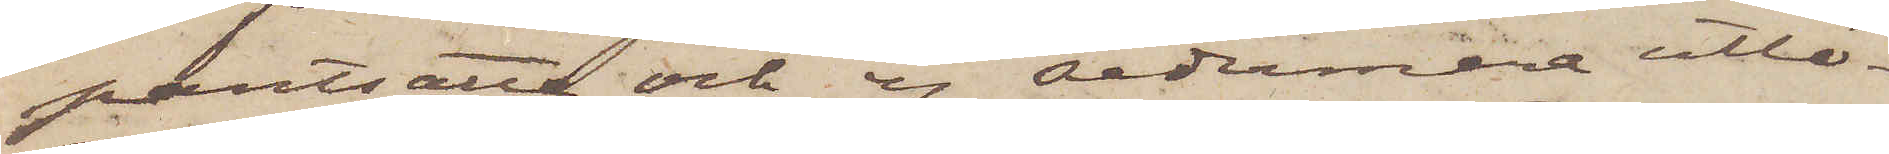pantsatte och ej sedermera utlö¬
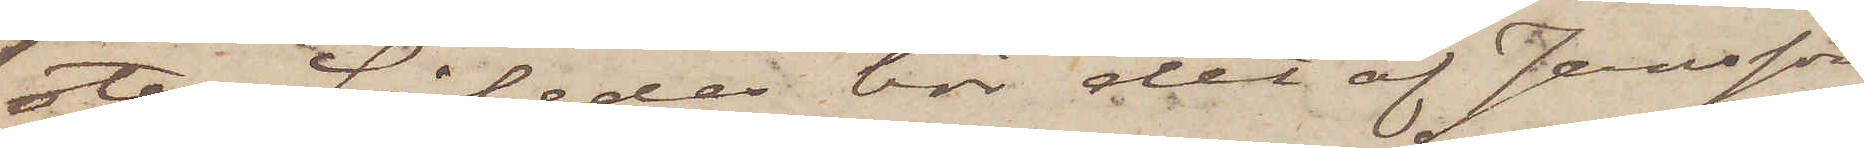sta. Således bör det af Jansson
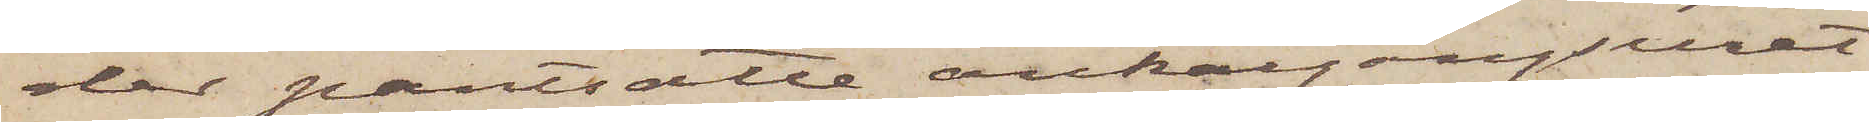der pantsatte ankargångsuret
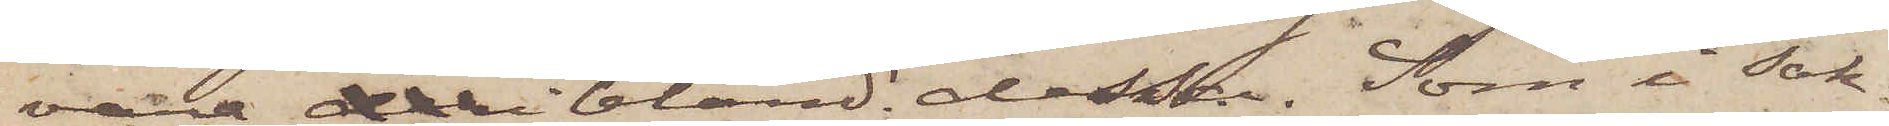vara deribland dessa. Som i sak¬
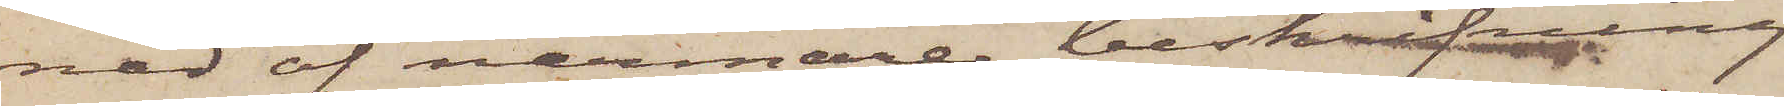nad af närmare beskrifvning
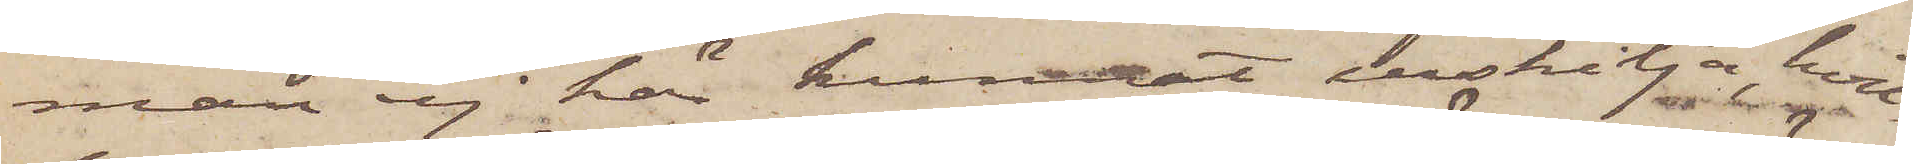man ej här kunnat urskilja, hvil¬
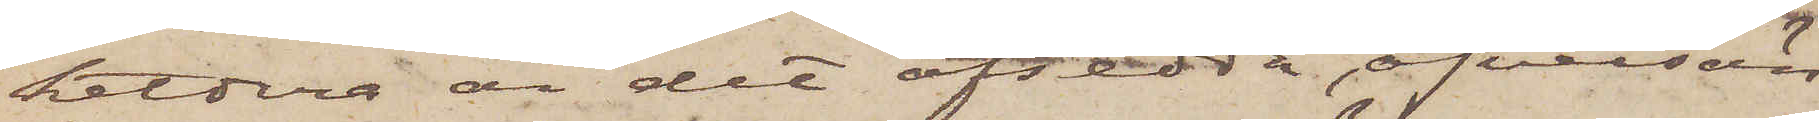hetdera är det afsedda, öfversän¬
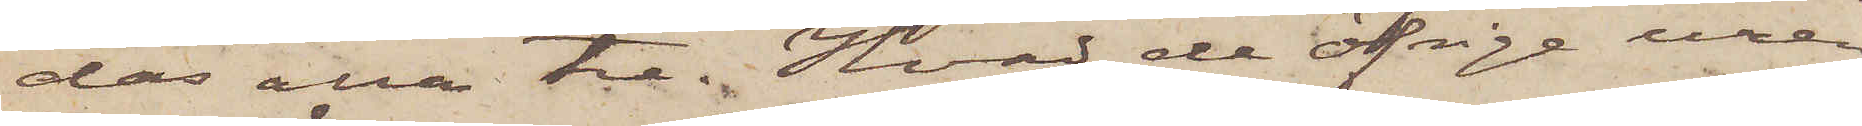das alla tre. Hvad de öfrige uren
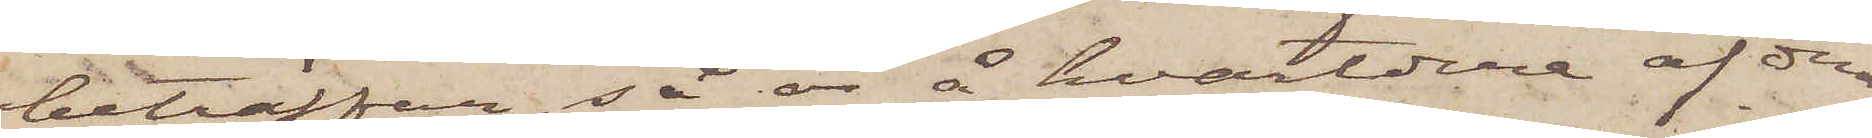beträffar, så är å hvardera af den
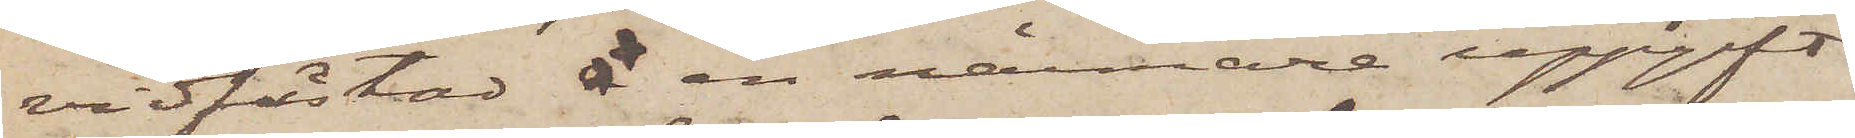vidfästad å en närmare uppgift
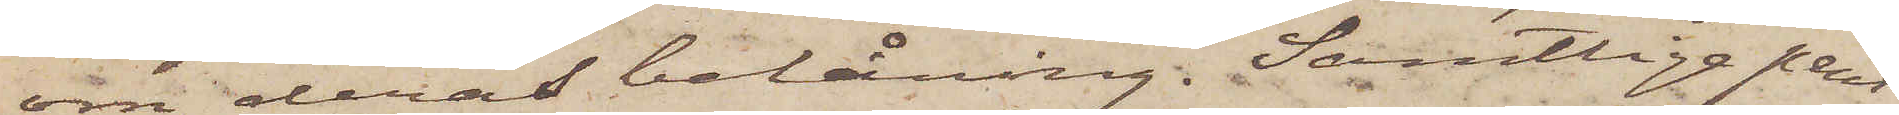om deras belåning. Samtliga pant¬
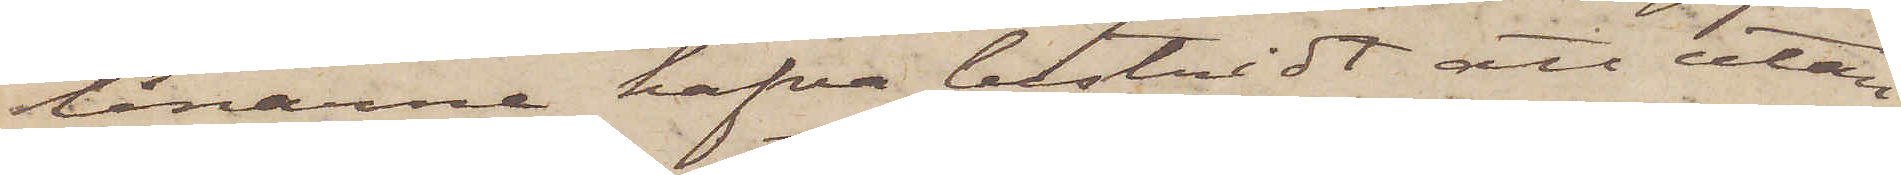lånarne hafva bestridt att utan
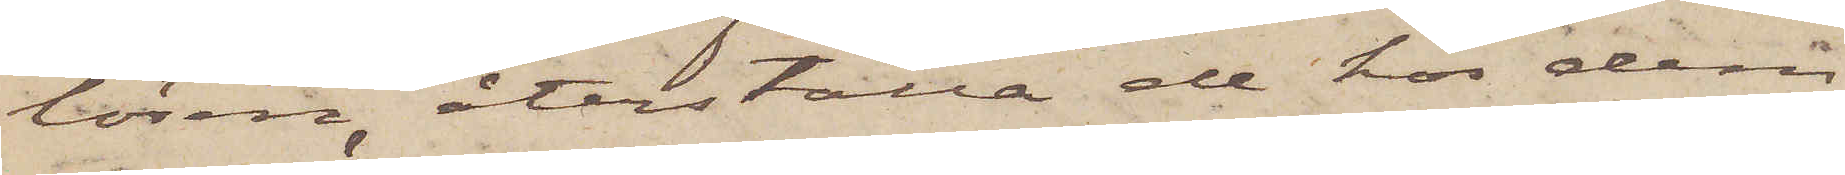lösen återställa de hos dem
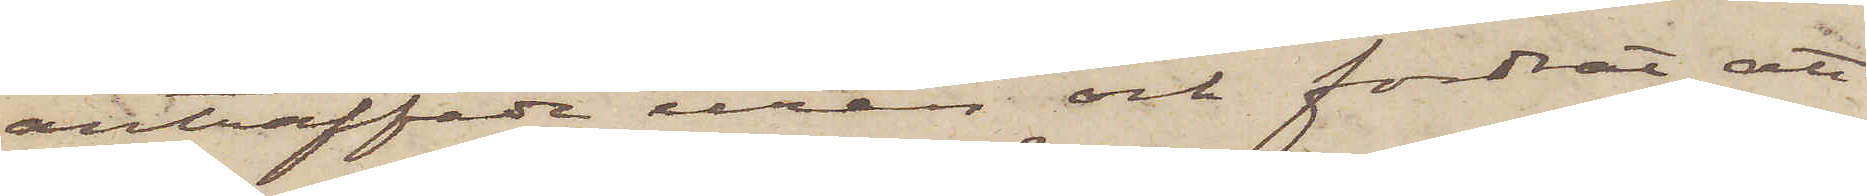anträffade uren och fordrat att
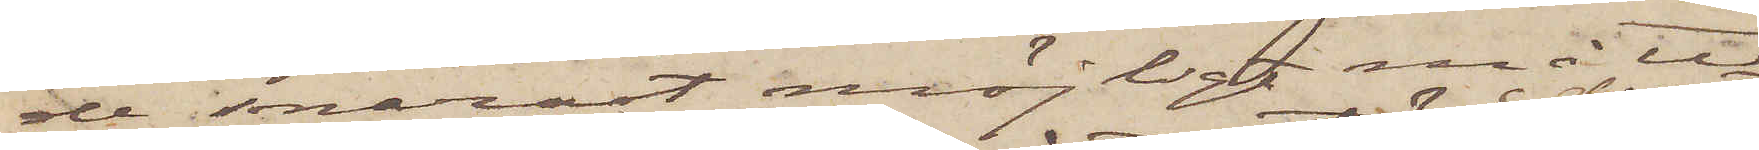de i snarast möjligt måtte
